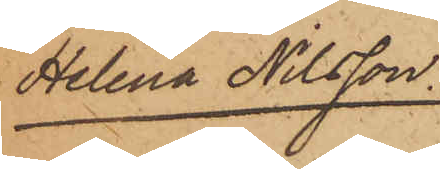Helena Nilsson.
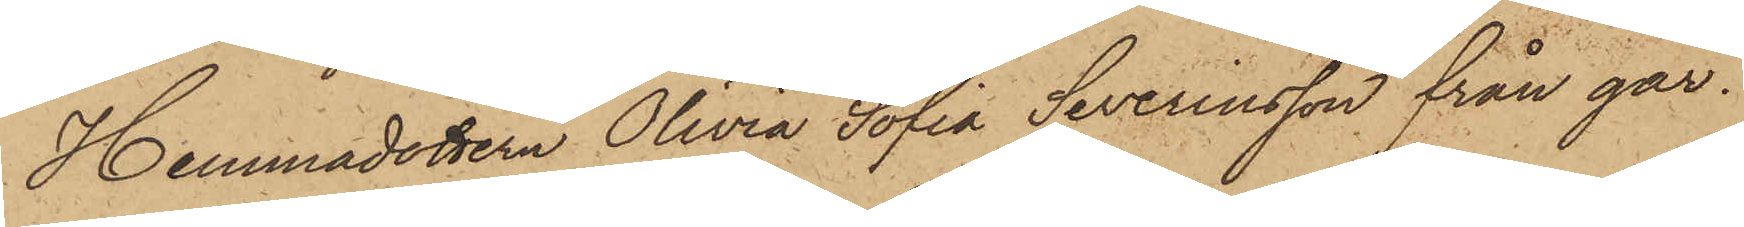Hemmadottern Olivia Sofia Severinsson från går¬
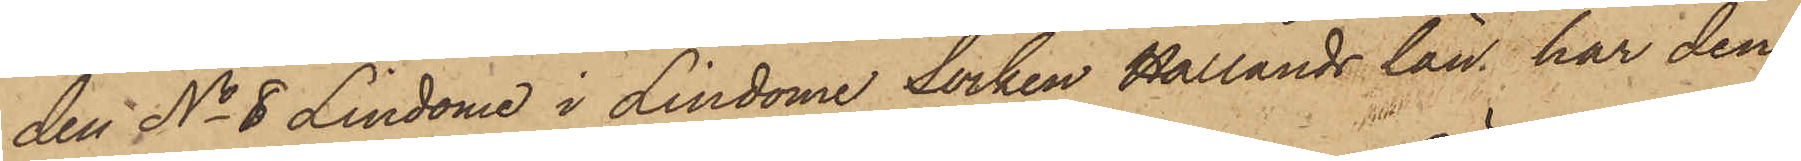den No 8 Lindome i Lindome Socken Hallands län, har den
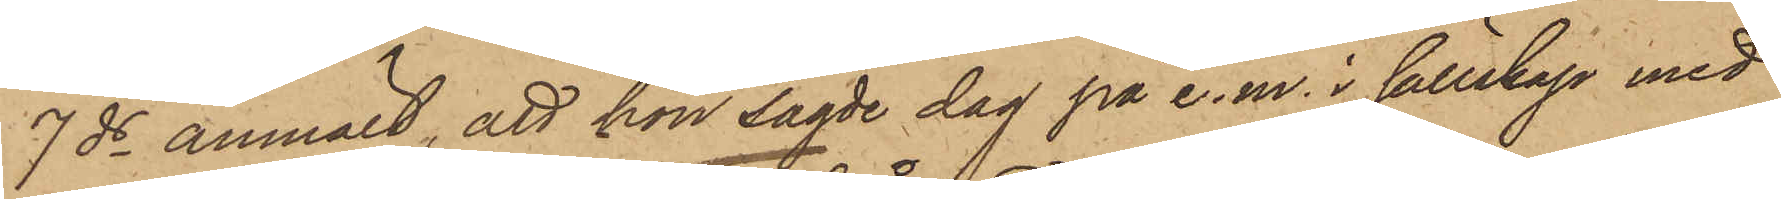7 ds anmält, att hon sagde dag på e. m. i sällskap med
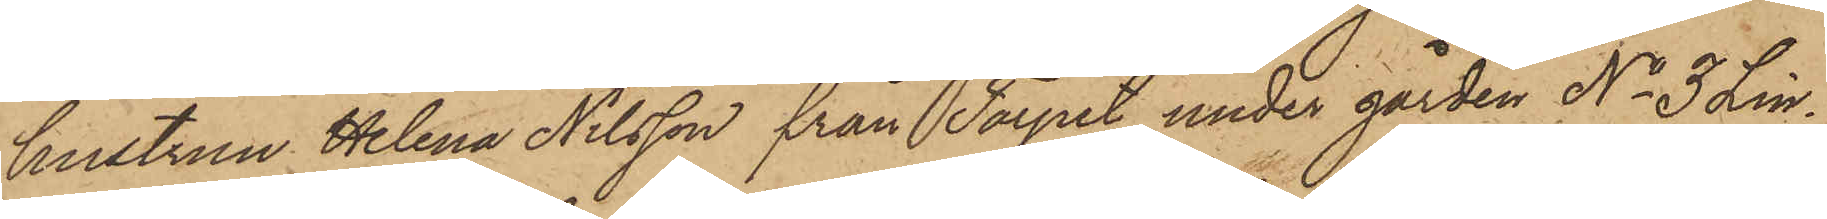hustrun Helena Nilsson från Torpet under gården No 3 Lin¬
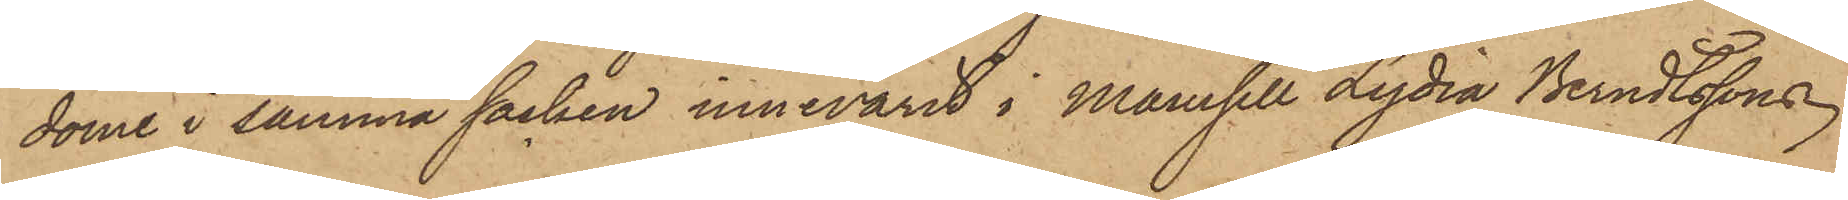dome i samma socken innevarit i Mamsell Lydia Berndtssons
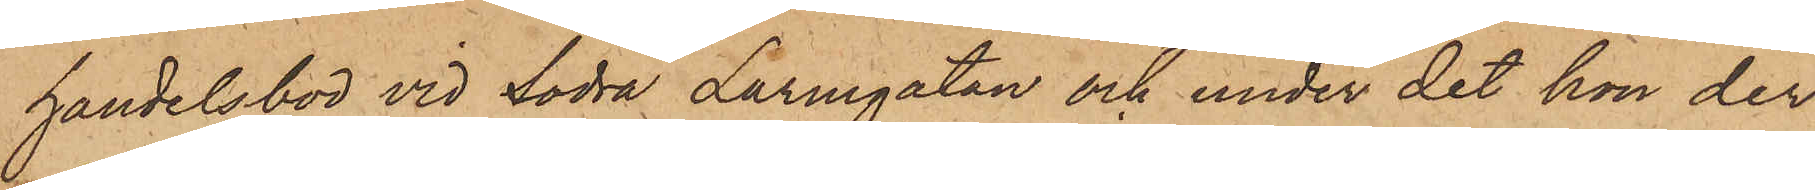handelsbod vid Södra Larmgatan och under det hon der
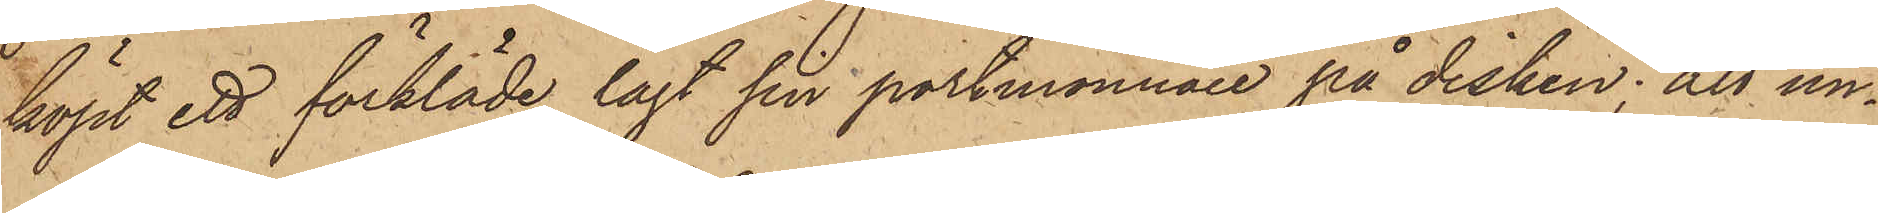köpt ett förkläde lagt sin portmonnaie på disken; att un¬
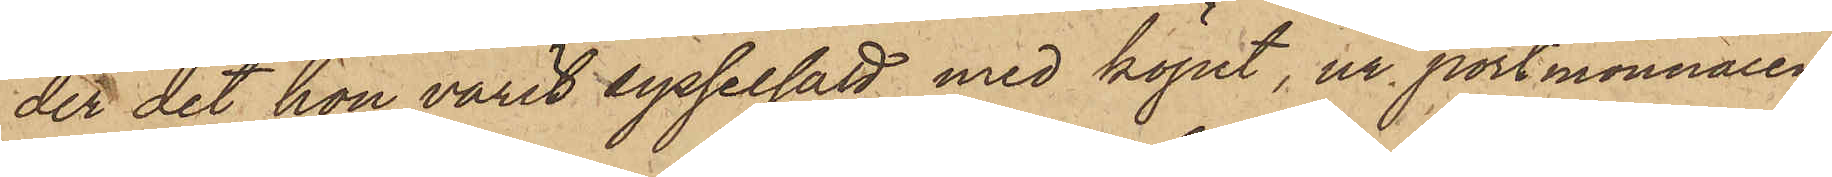der det hon varit sysselsatt med köpet, ur portmonnaien
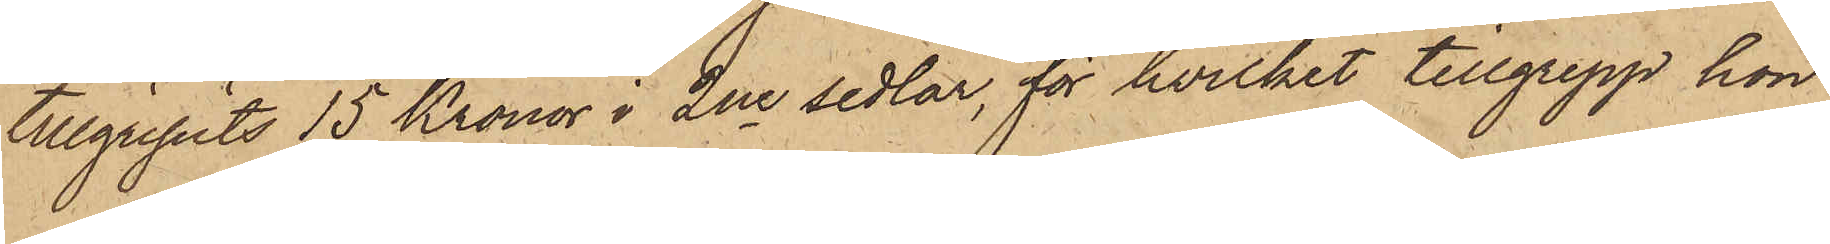tillgripits 15 Kronor i 2ne sedlar, för hvilket tillgrepp hon
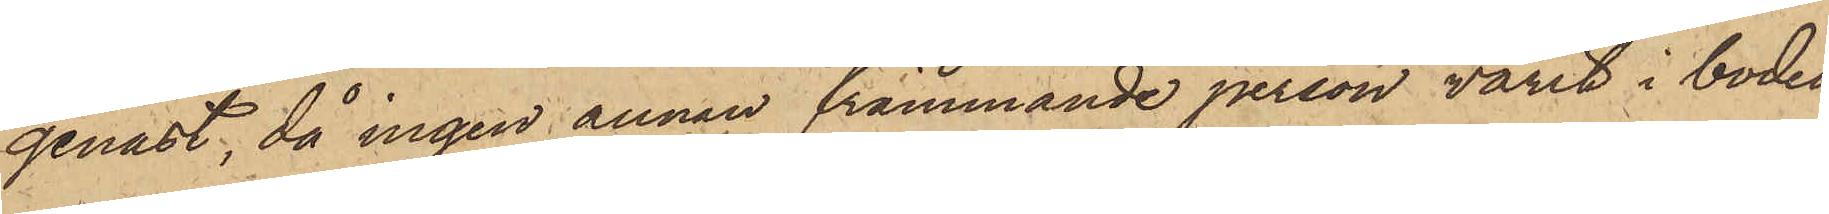genast, då ingen annan främmande person varit i boden,
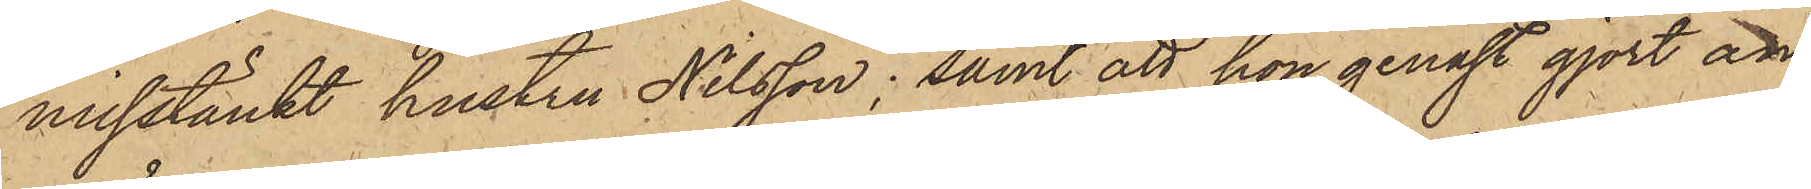misstänkt hustru Nilsson; samt att hon genast gjort an¬
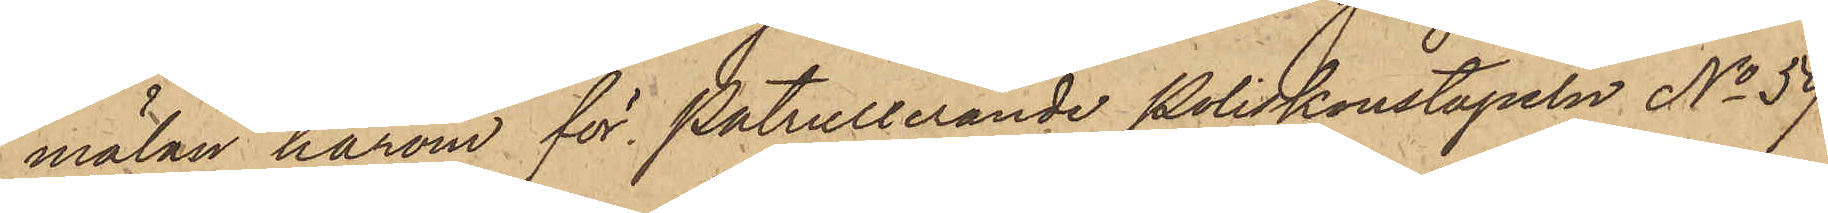mälan härom för patrullerande Poliskonstapeln No 59
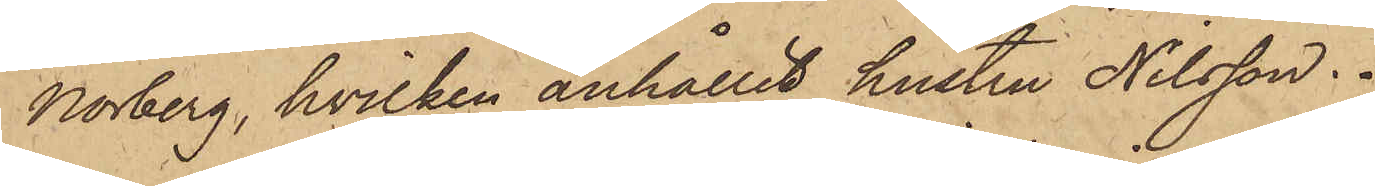Norberg, hvilken anhållit hustru Nilsson.
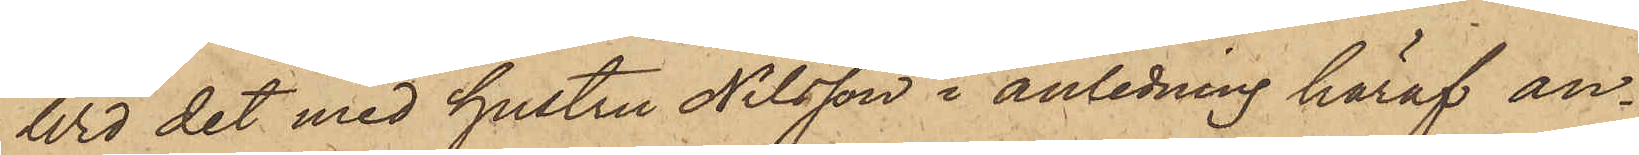Wid det med hustru Nilsson i anledning häraf an¬
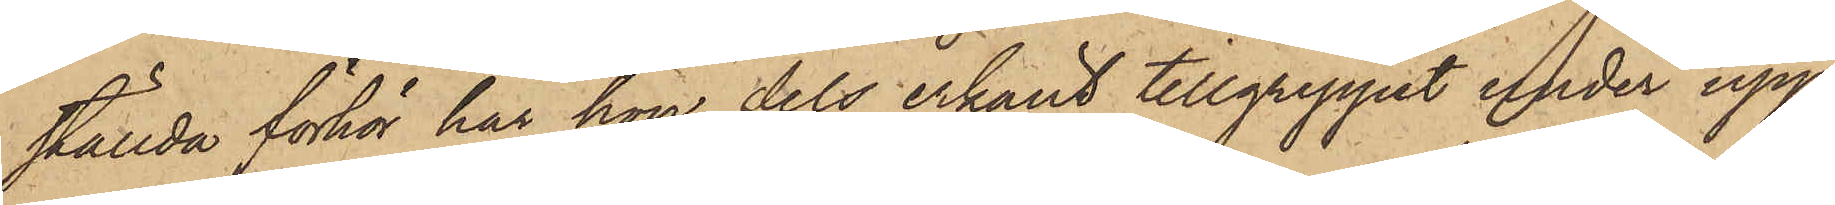ställda förhör har hon dels erkänt tillgreppet under upp¬
